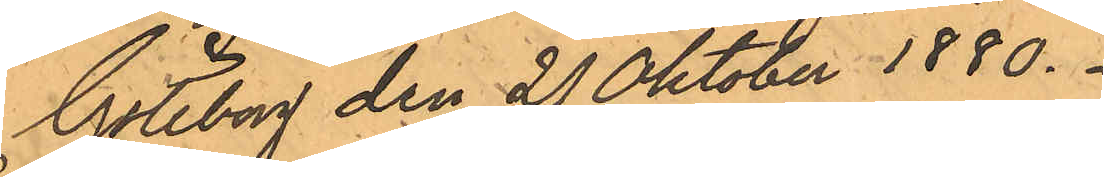Göteborg den 21 Oktober 1880.
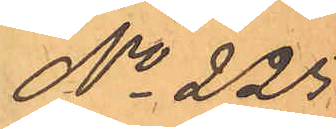No 225.
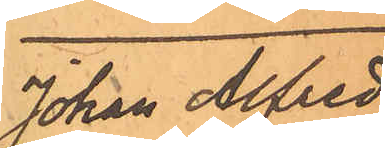Johan Alfred
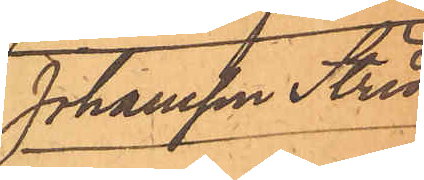Johansson Strid
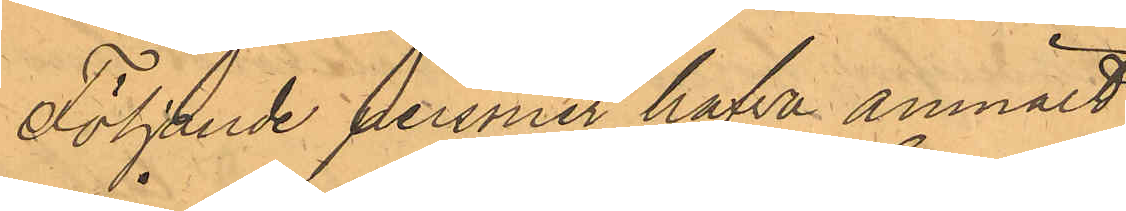Följande personer hafva anmält:
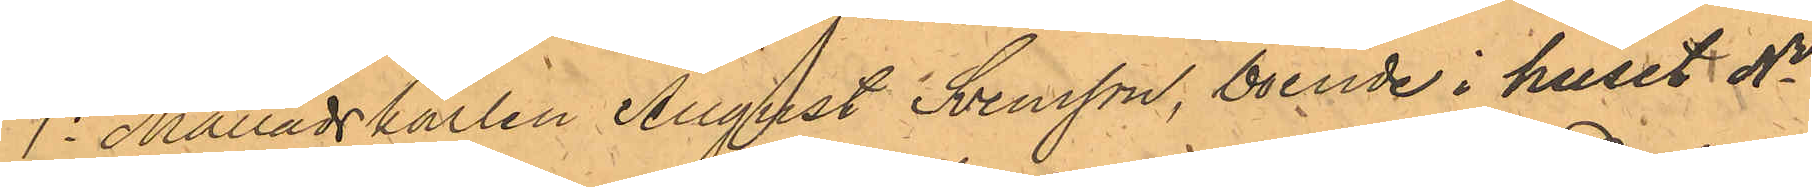1o Månadskarlen August Svensson, boende i huset No 1
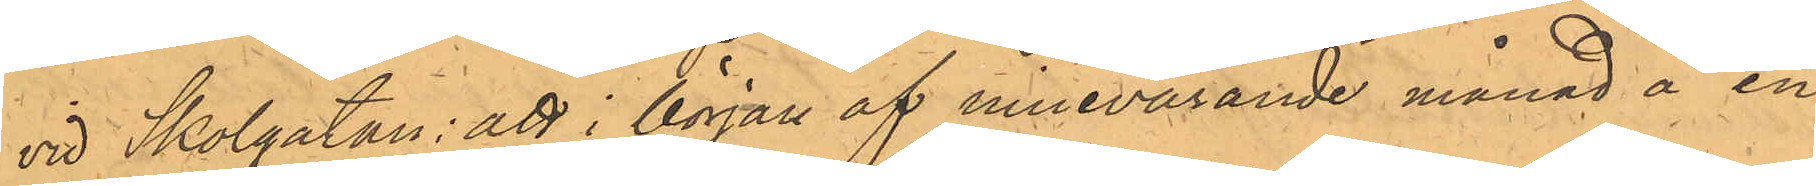vid Skolgatan: att i början af innevarande månad å en
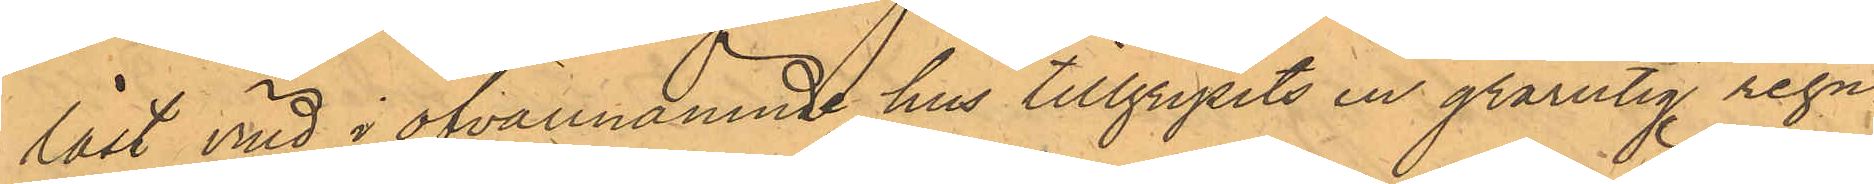låst vind i ofvannämnde hus tillgripits en grårutig regn¬
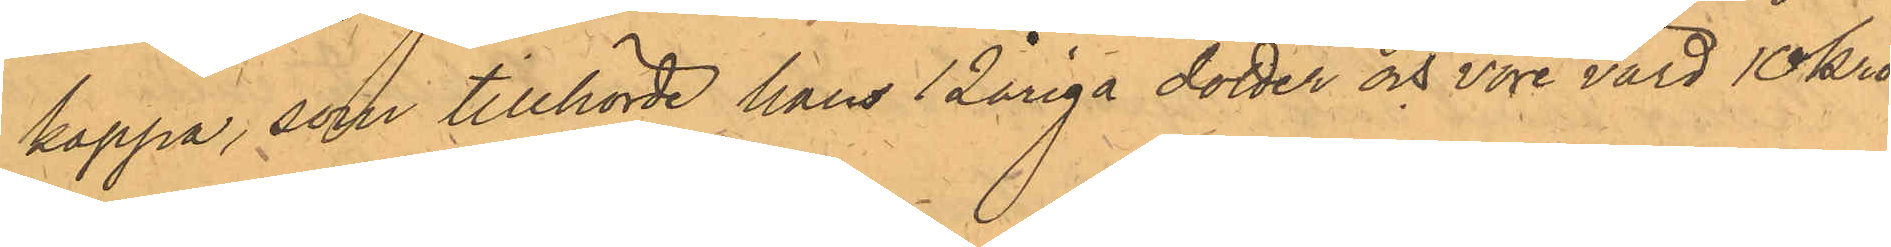kappa, som tillhörde hans 12åriga dotter och vore värd 10 kro¬
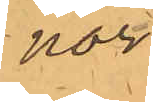nor;
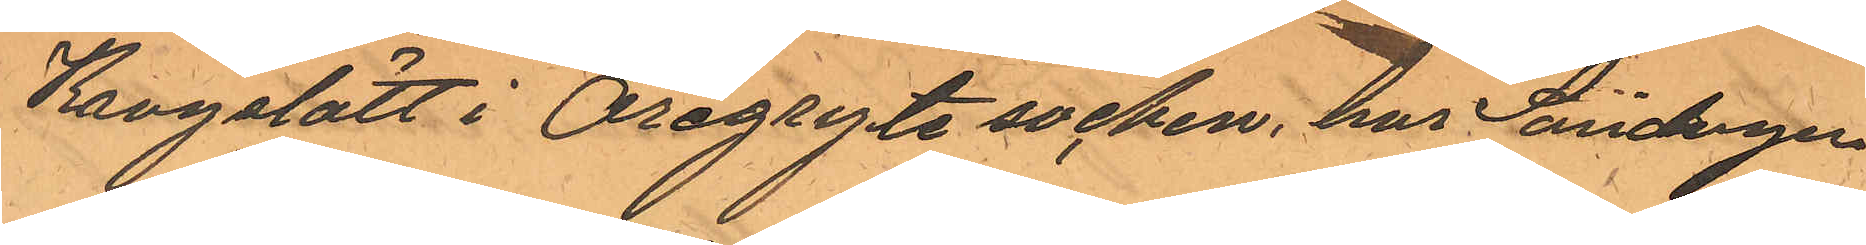Krogslätt i Öregryte socken, har Söndagen
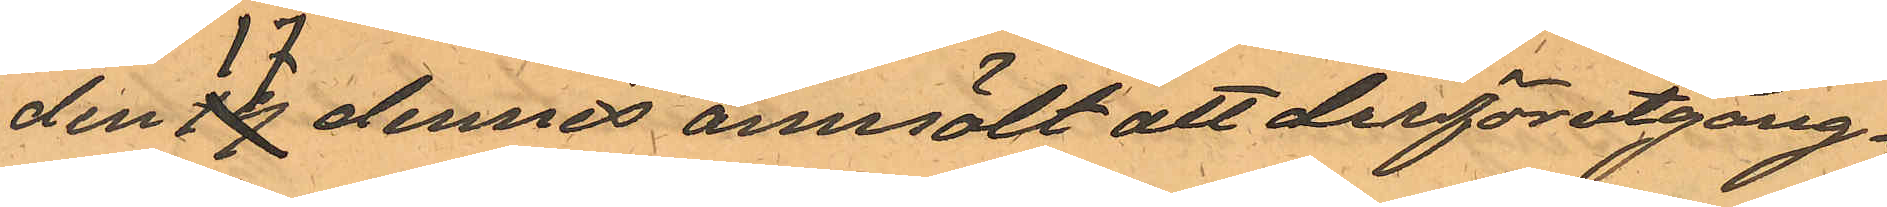den 17 dennes anmält att derförutgång¬
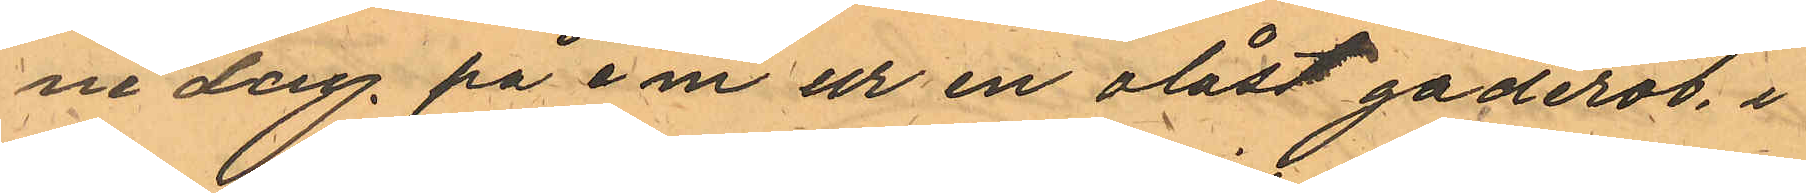ne dag på e m ur en olåst gaderob, i
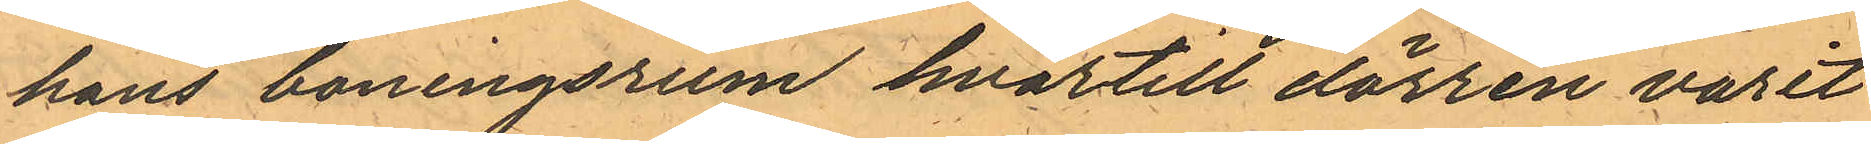hans boningsrum hvartill dörren varit
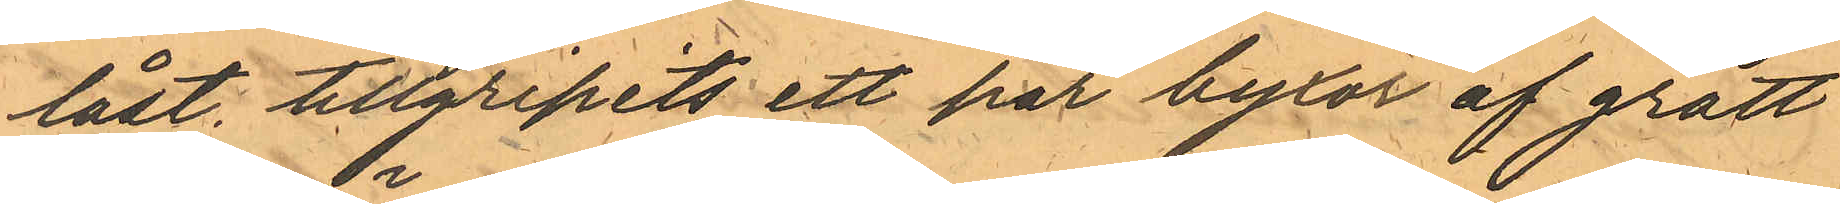låst, tillgripits ett par byxor af grått
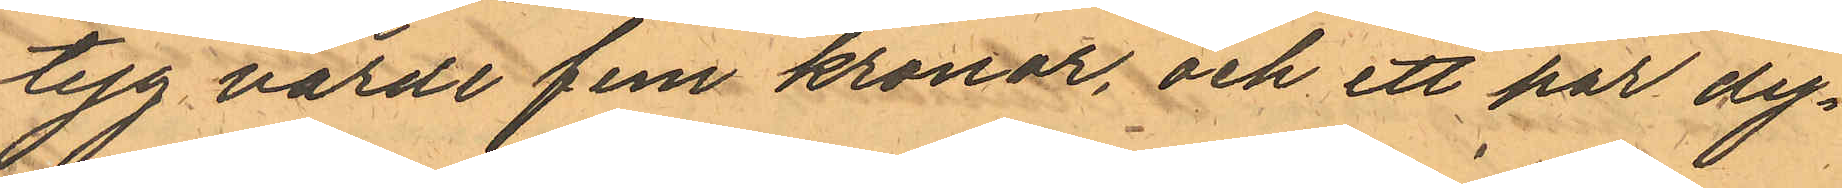tyg värde fem kronor, och ett par dy¬
